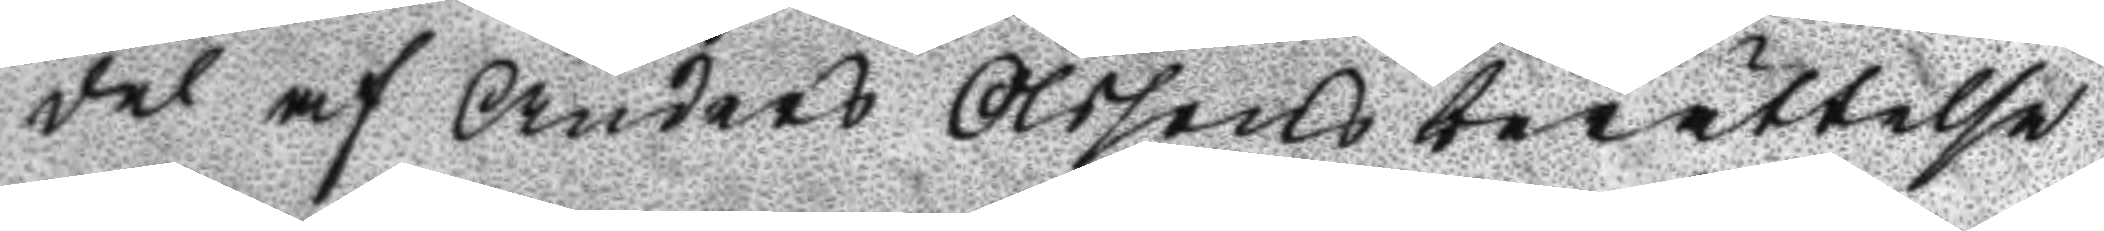del af Anders Olssons berättelse
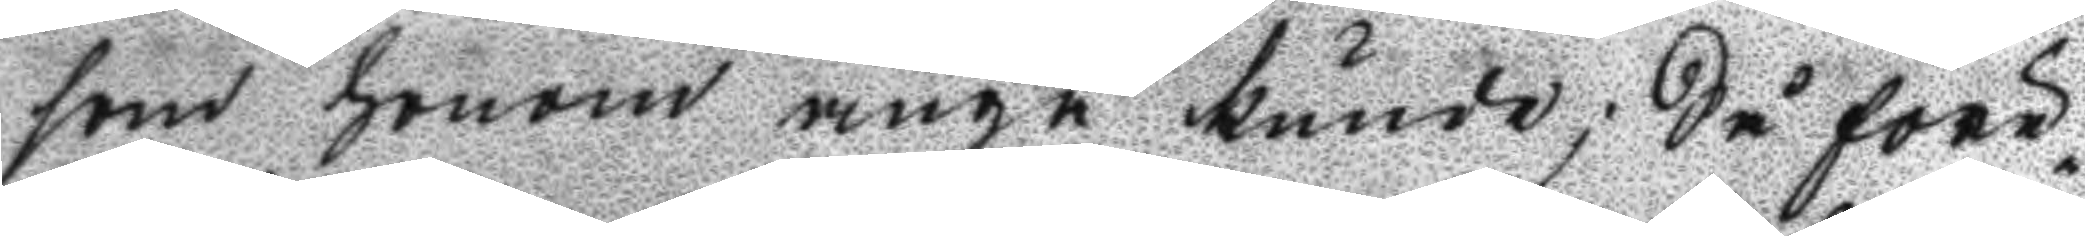som honom angå kunde; Så före¬
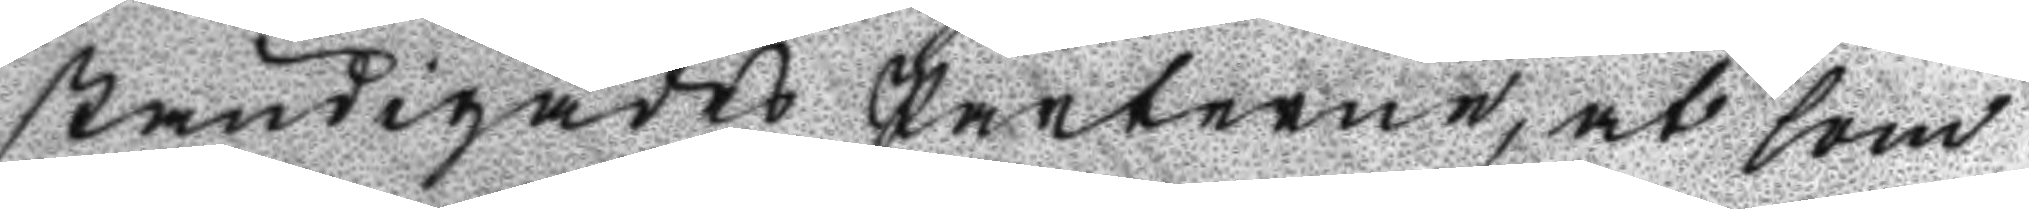ständigades Parterne, at som
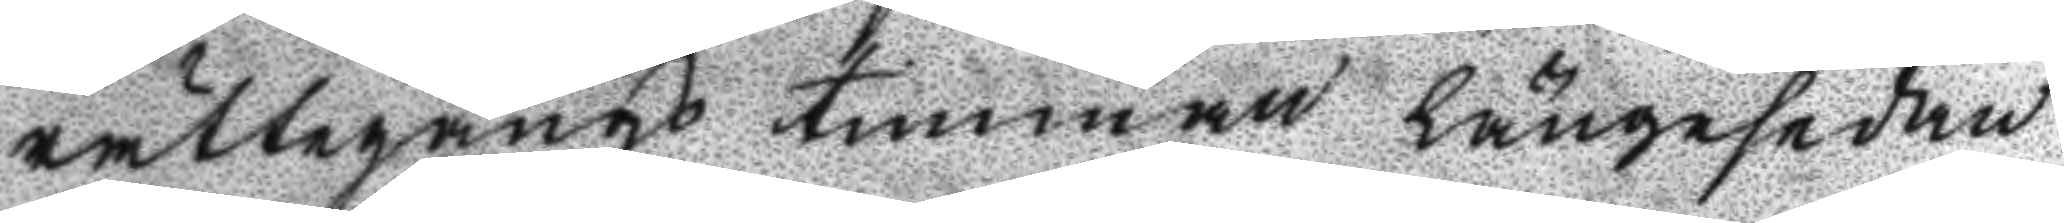rättegångs timman längesedan
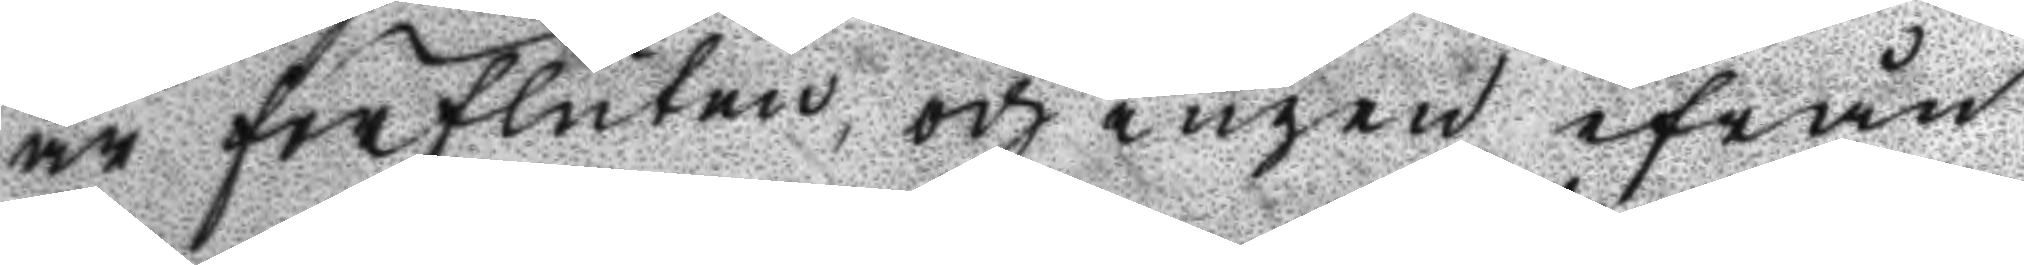är försluten, och ingen ifrån
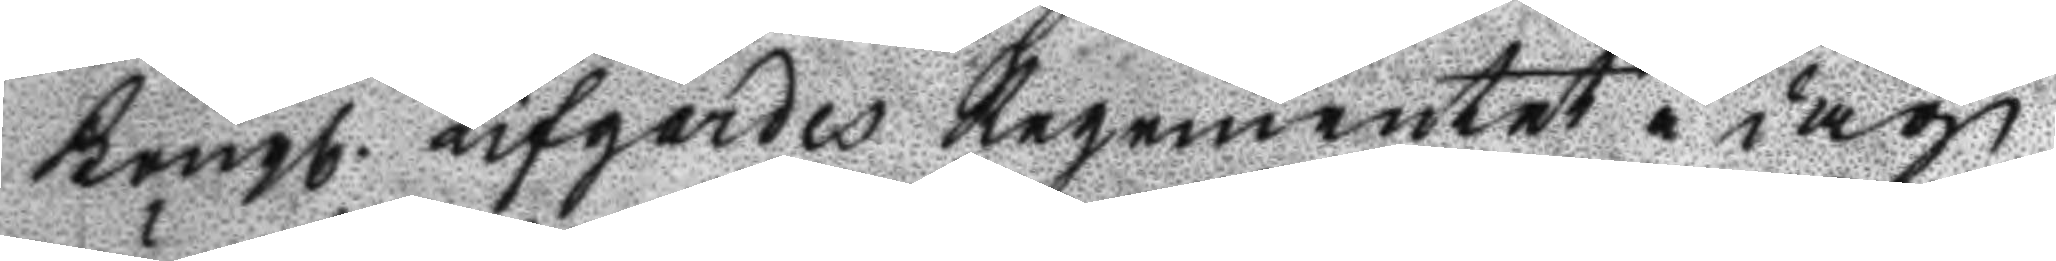Kongl. Lifgardes Regementet i dag
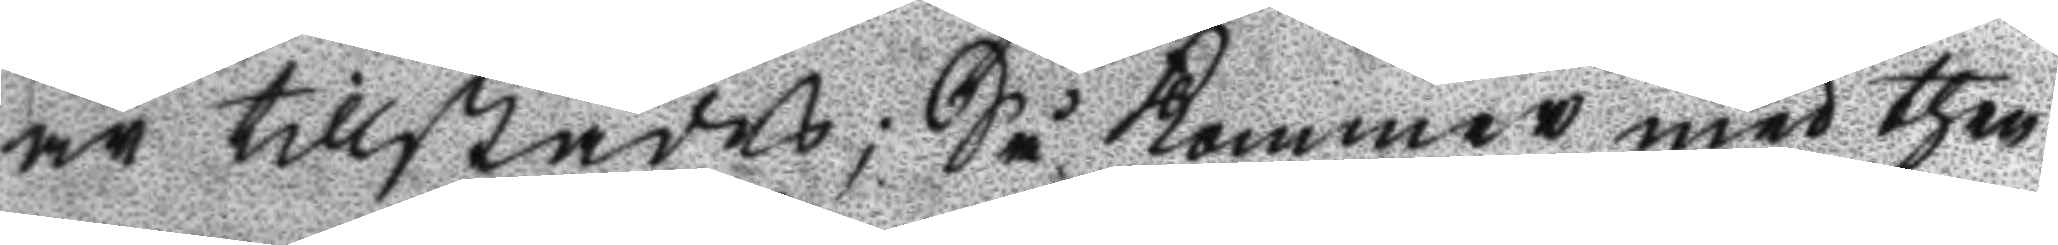är tillstädes; Så Kommer med then¬
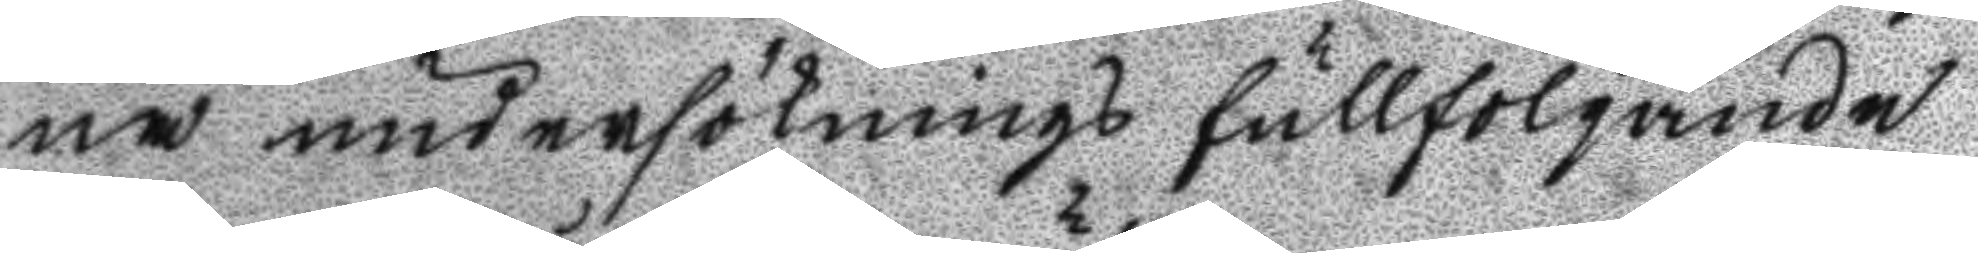na undersöknings fullföljande
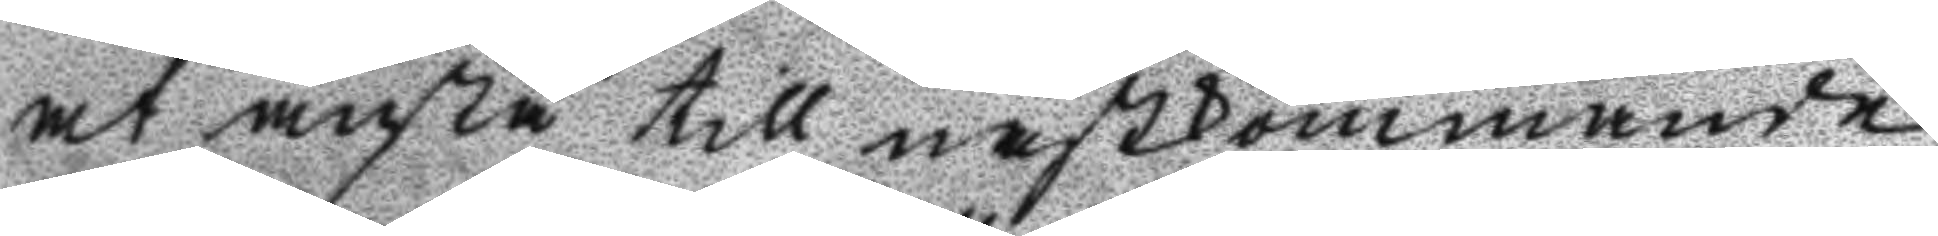at anstå till nästkommande
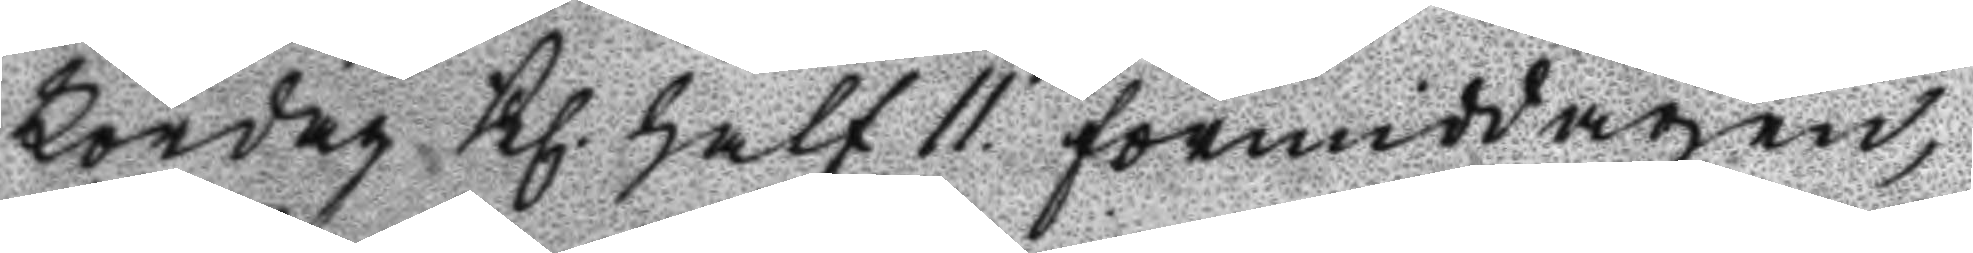Lördag Kl. half 11. förmiddagen, 
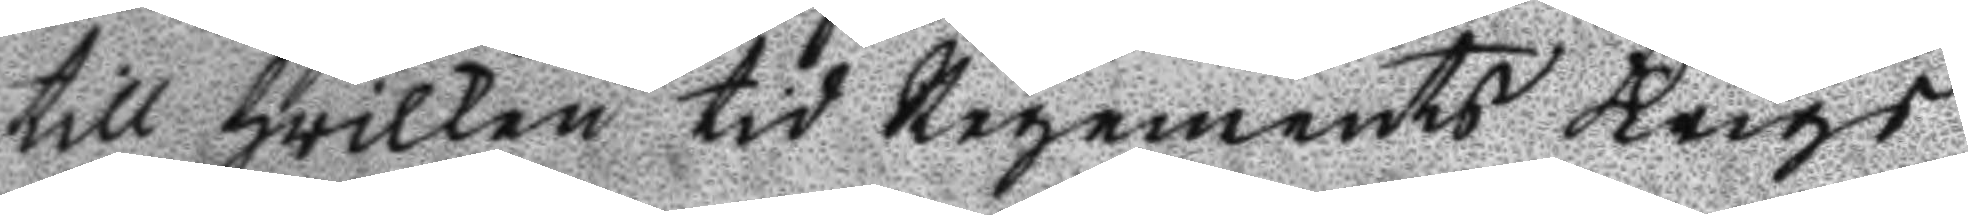till hwilken tid Regements Krigs
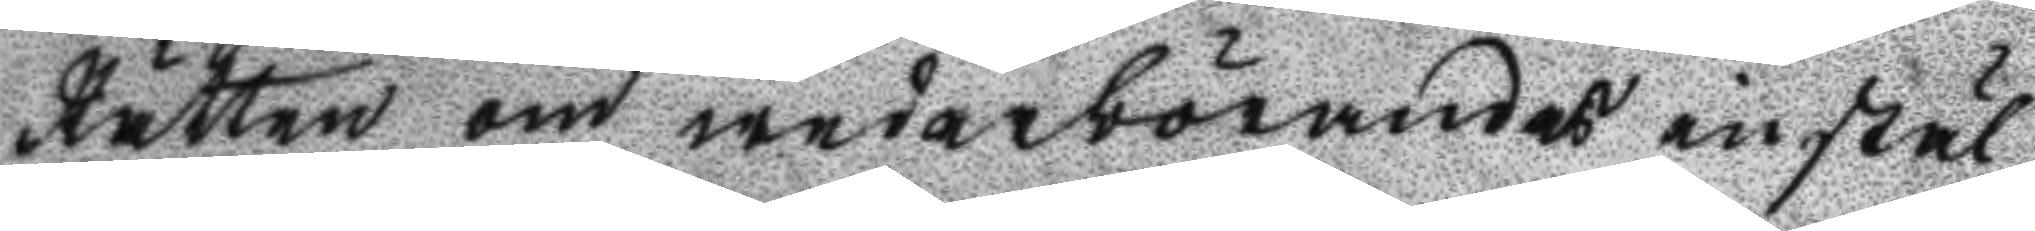Rätten om wederbörandes instäl¬
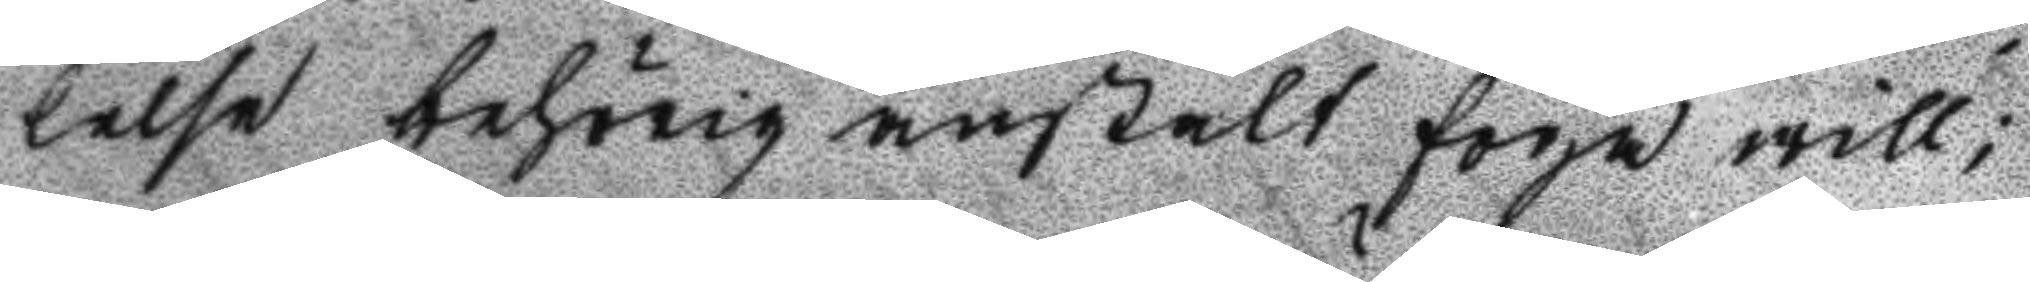lelse behörig anstalt forja will;
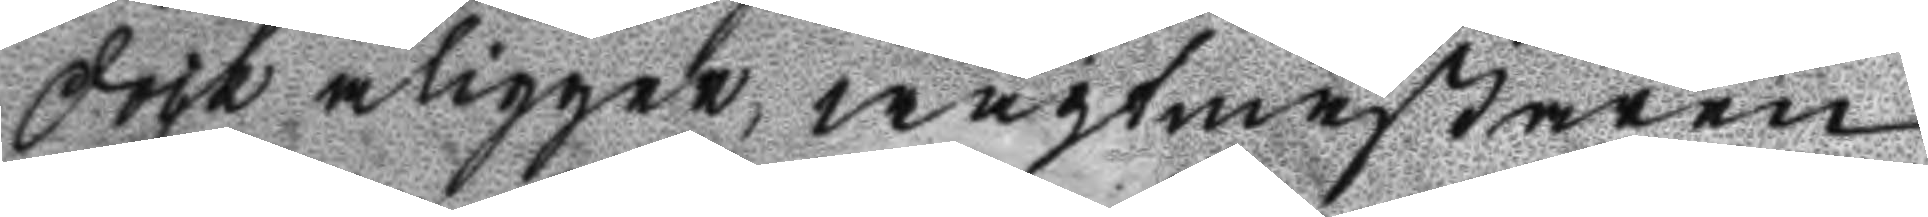dock åligger, wagtmästaren
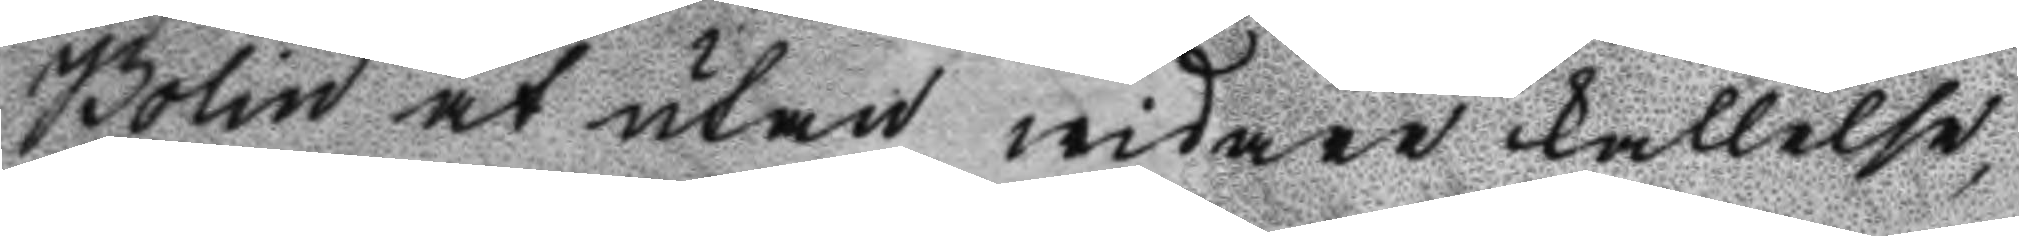Bolin at utan widare kallelse,
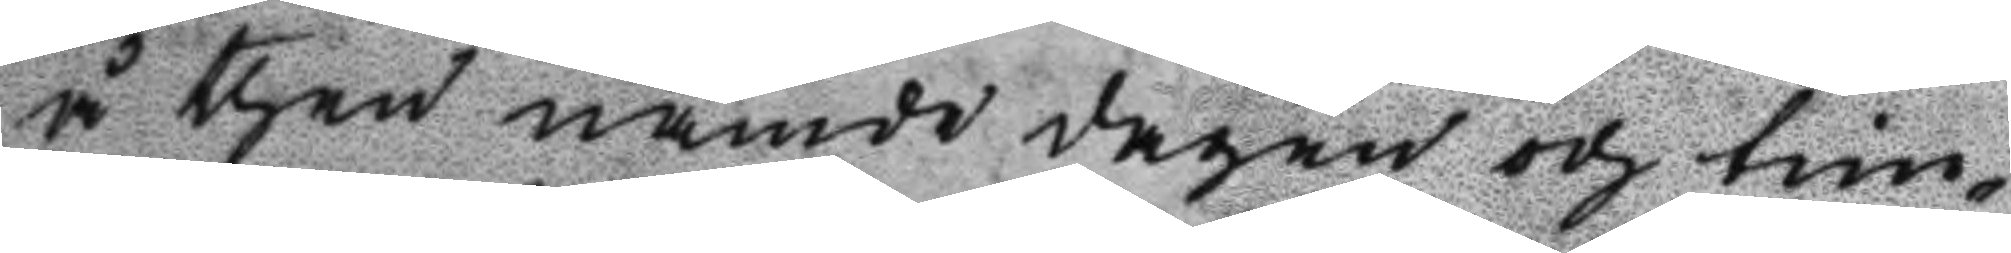å then nämde dagen och tim¬
